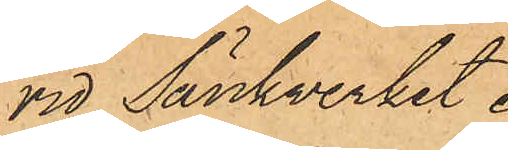vid Sänkverket.
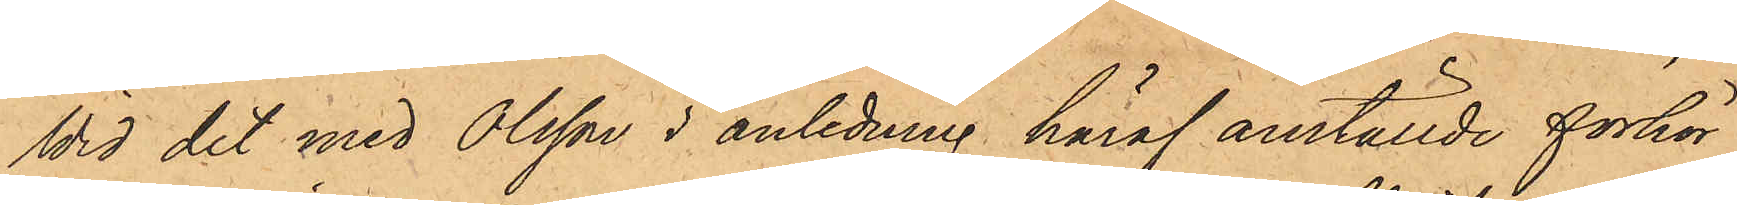Wid det med Olsson i anledning häraf anställde förhör
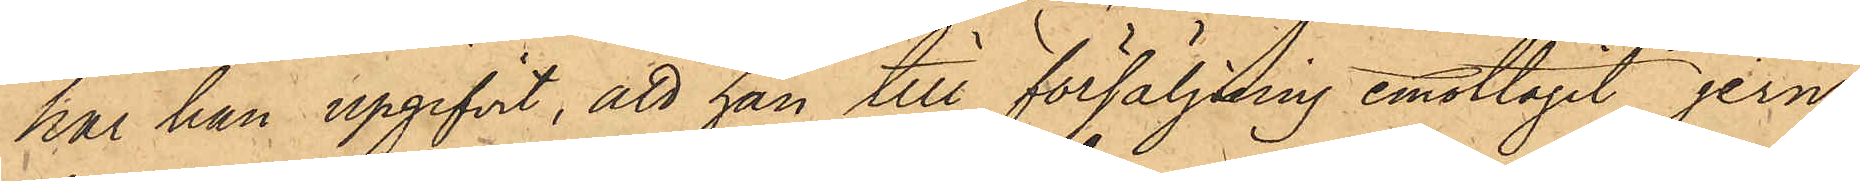har han upgifvit, att han till försäljning emottagit jern¬
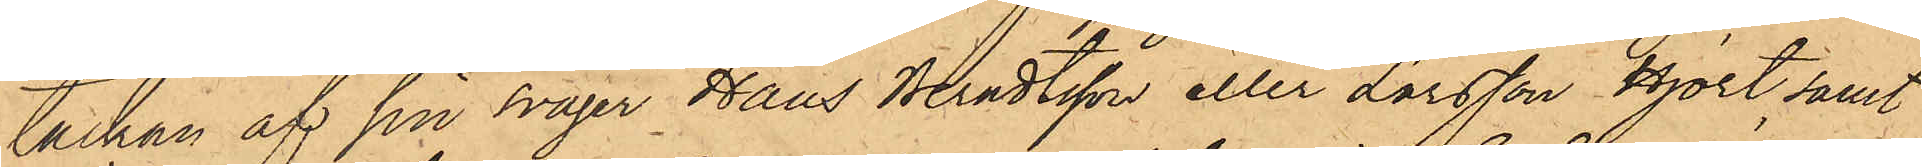tackan af sin svåger Hans Berndtsson eller Larsson Hjort ,samt
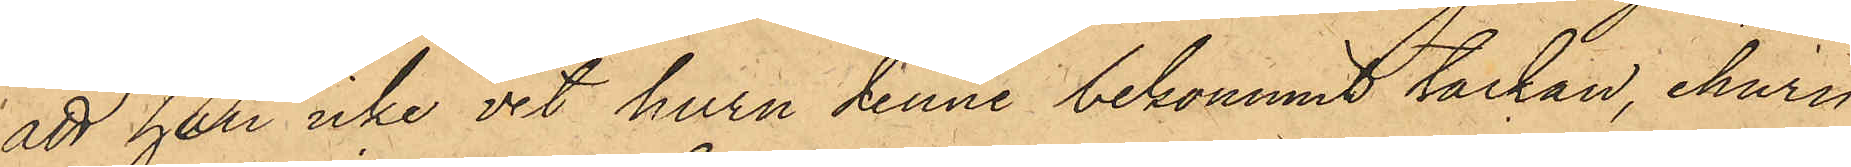att han icke vet huru denne bekommit tackan, ehuru
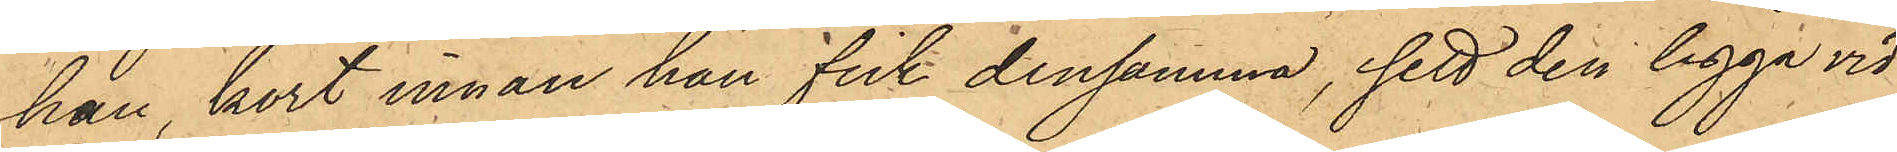han, kort innan han fick densamma, sett den ligga vid
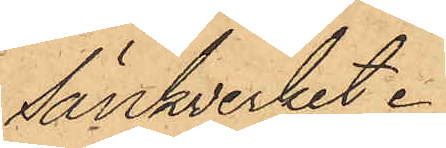Sänkverket.
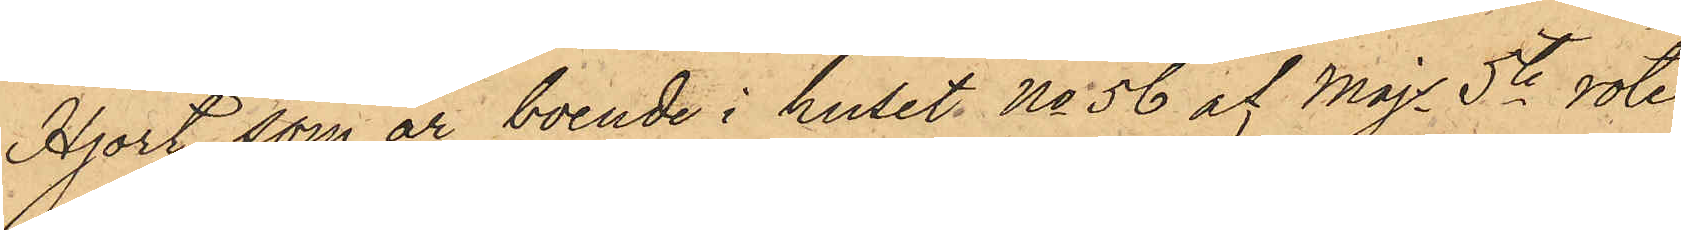Hjort, som är boende i huset No 56 af Majs 5te rote
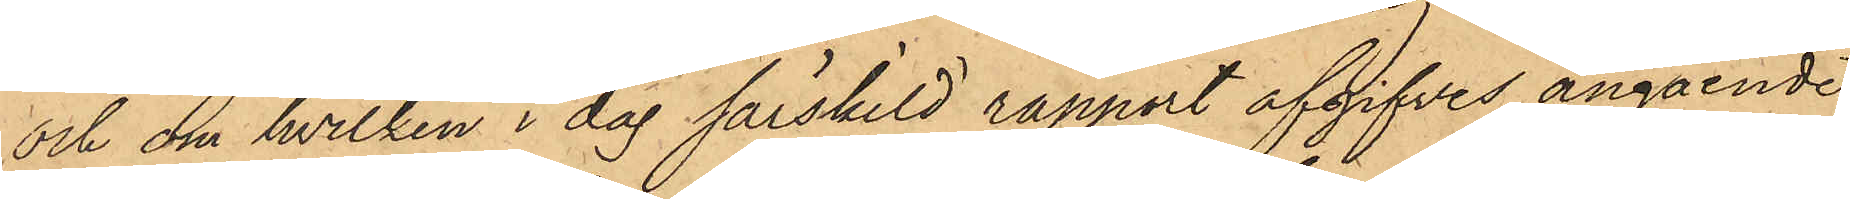och om hvilken i dag särskild rapport afgifves angående
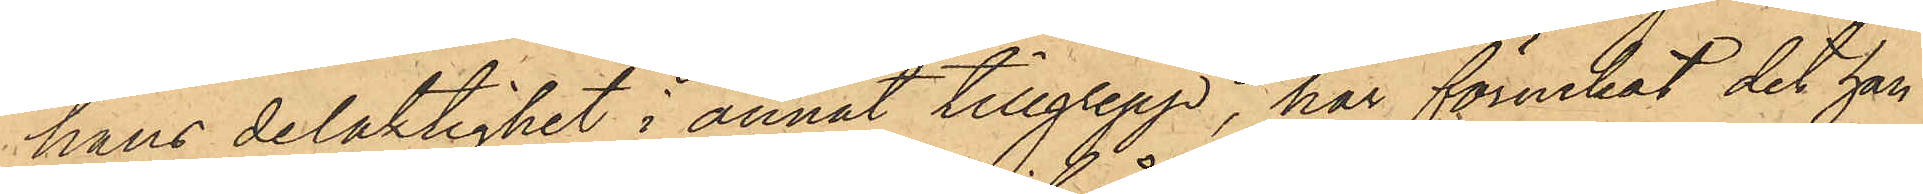hans delaktighet i annat tillgrepp, har förnekat det han
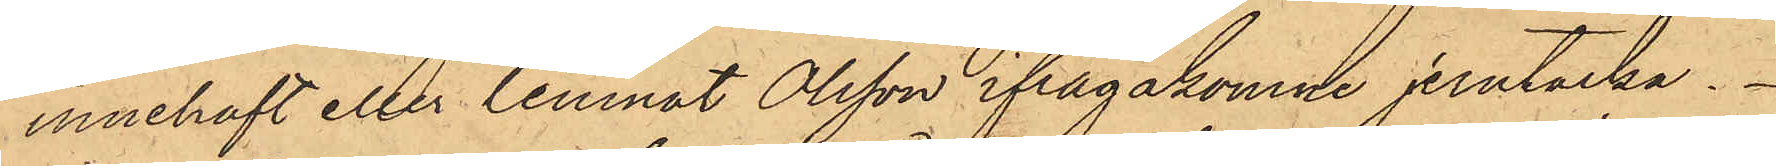innehaft eller lemnat Olsson ifrågakomne jerntacka.
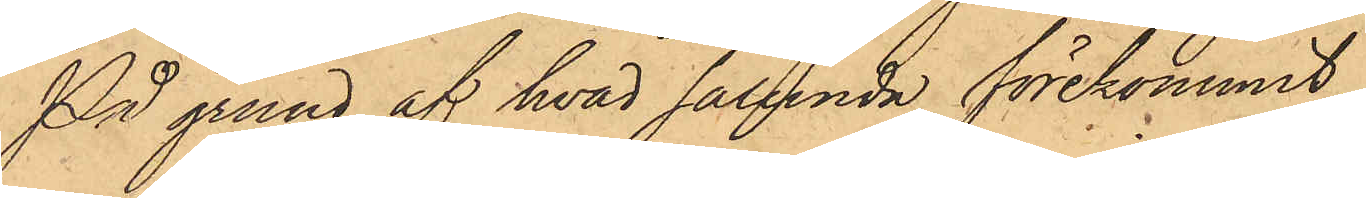På grund af hvad sålunda förekommit,
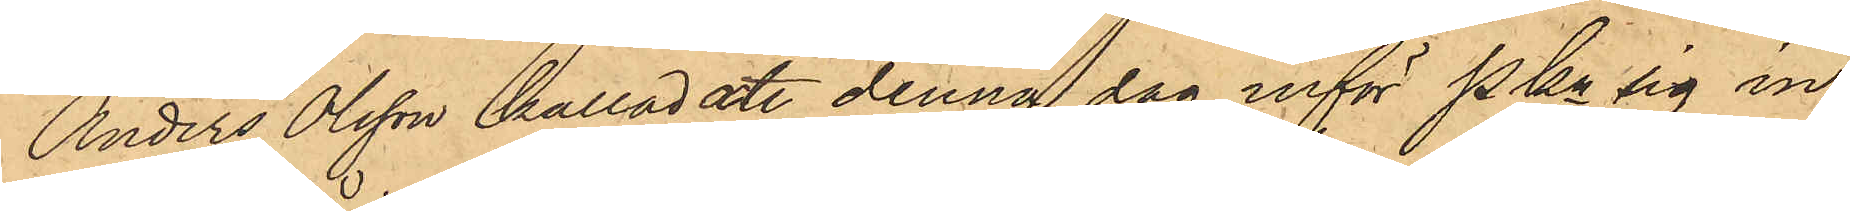Anders Olsson kallad, att denna dag inför Pkn sig in¬
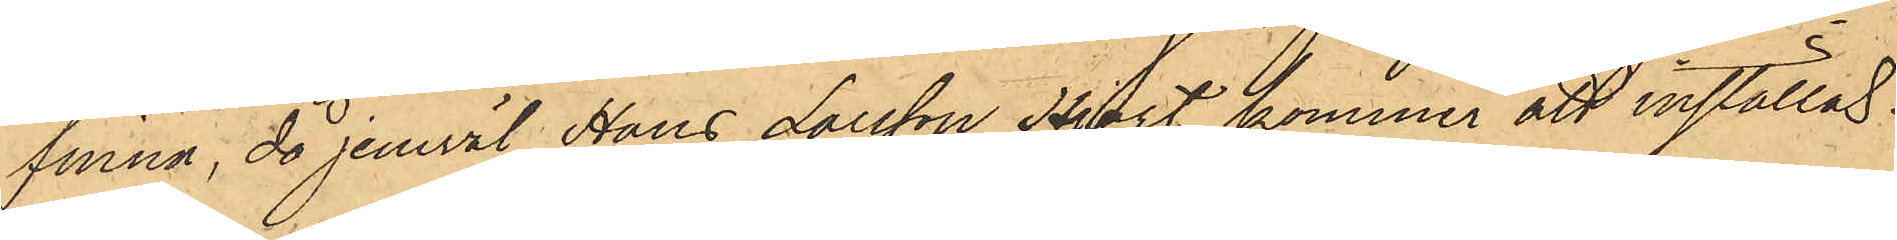finna, då jemväl Hans Larsson Hjort kommer att inställas.
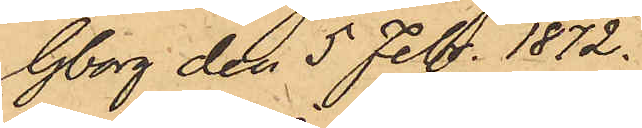Gborg den 5 Febr. 1872.
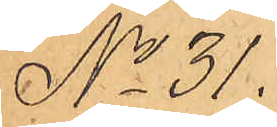No 31.
